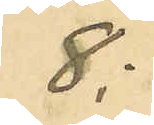8:
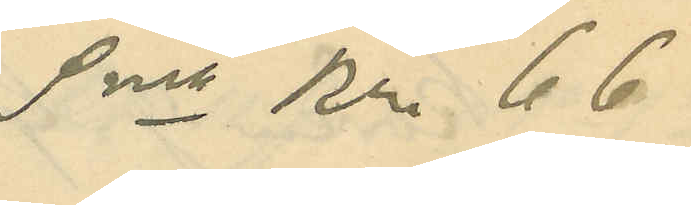Sma Kr. 66
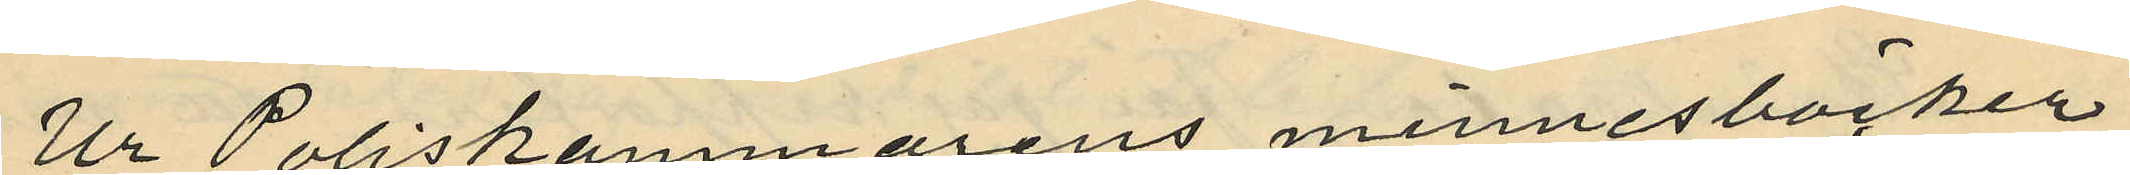Ur Poliskammarens minnesböcker
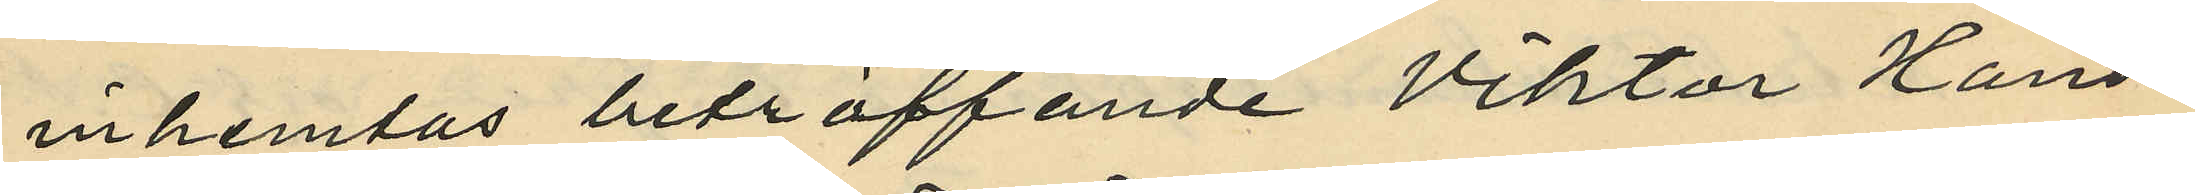inhemtas beträffande Viktor Hans¬
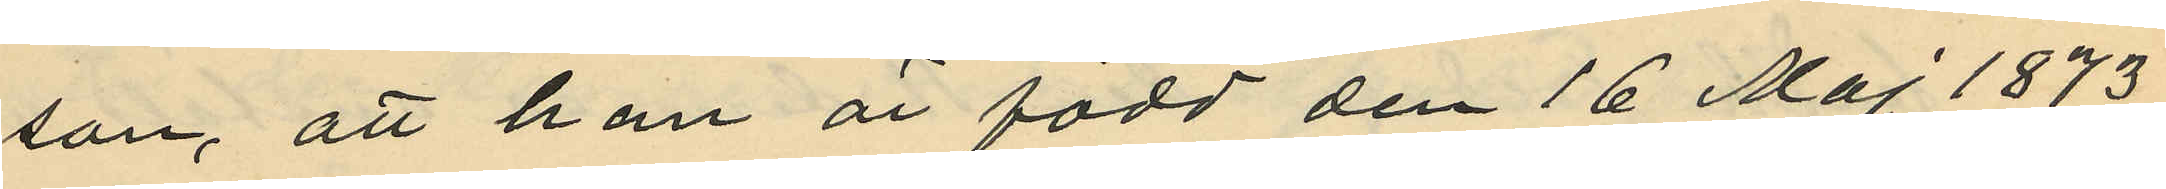son, att han är född den 16 Maj 1873
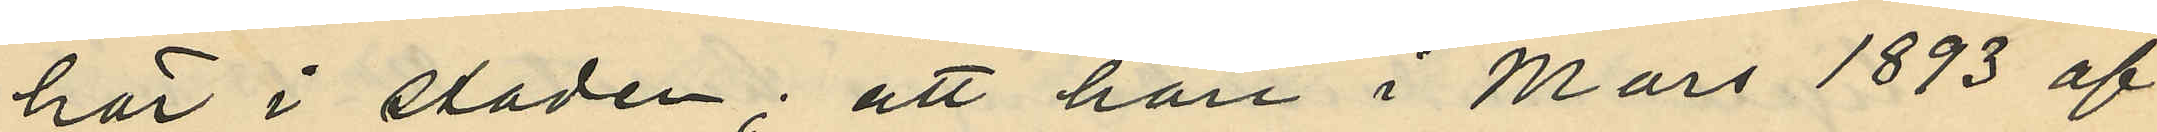här i staden; att han i Mars 1893 af
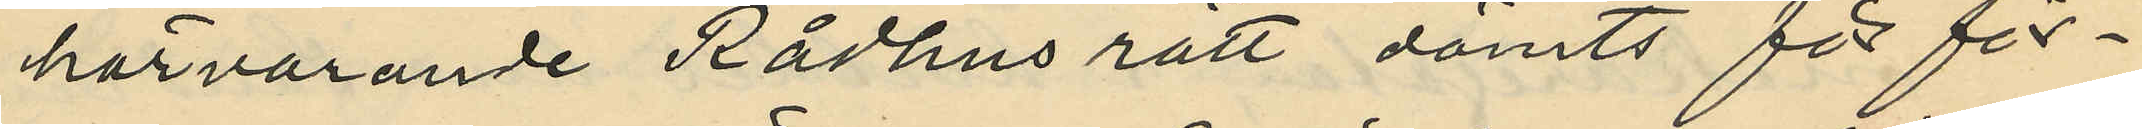härvarande Rådhus rätt dömts för för¬
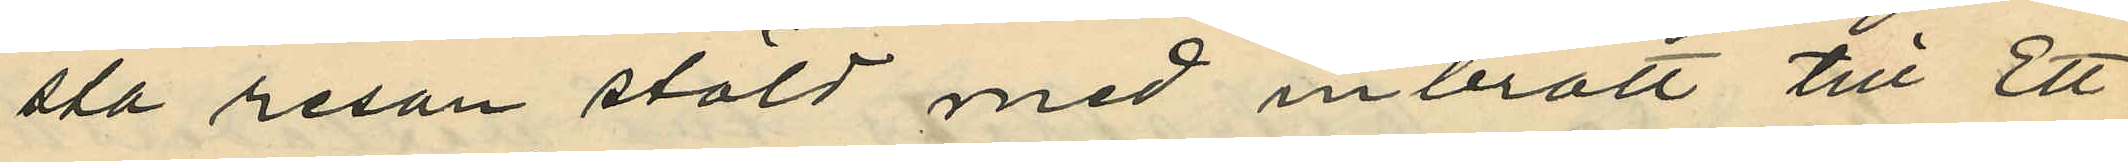sta resan stöld med inbrott till Ett
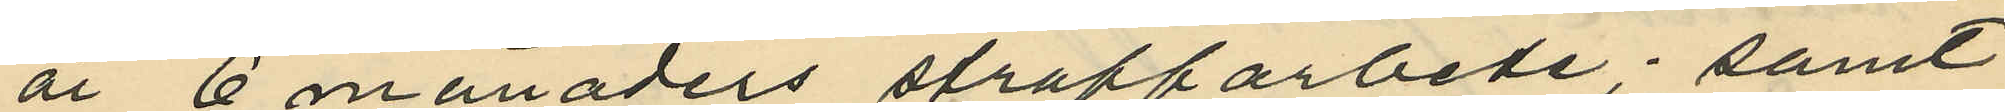år 6 månaders straffarbete; samt
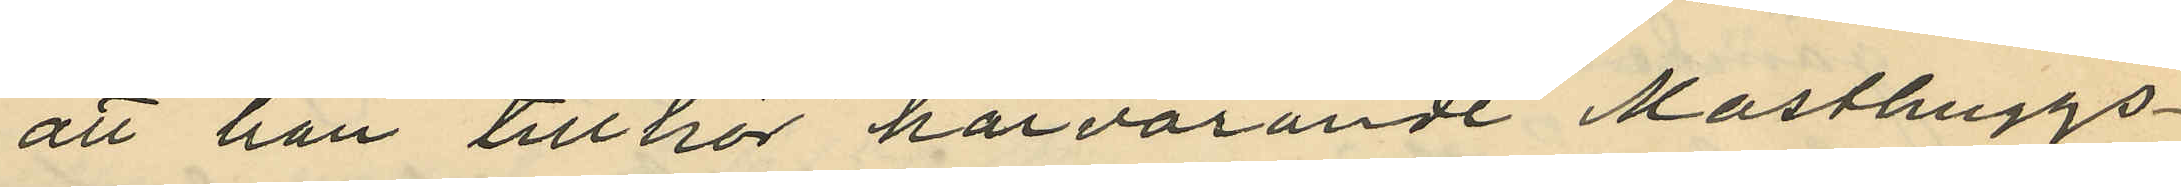att han tillhör härvarande Masthuggs
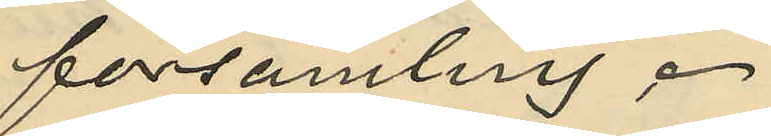församling.
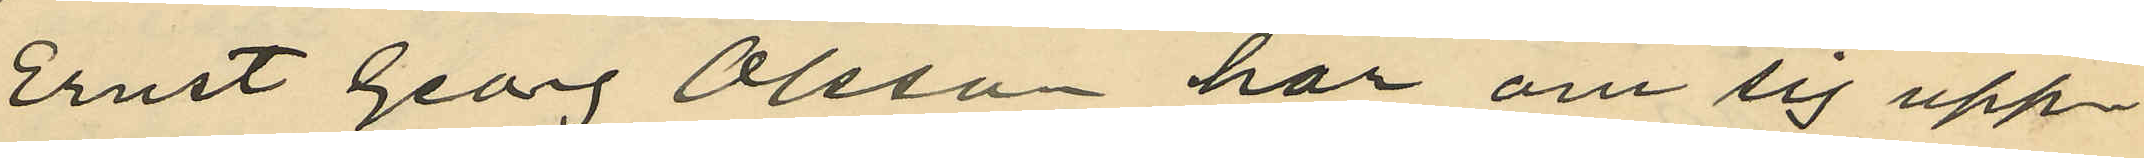Ernst Georg Olsson har om sig upp¬
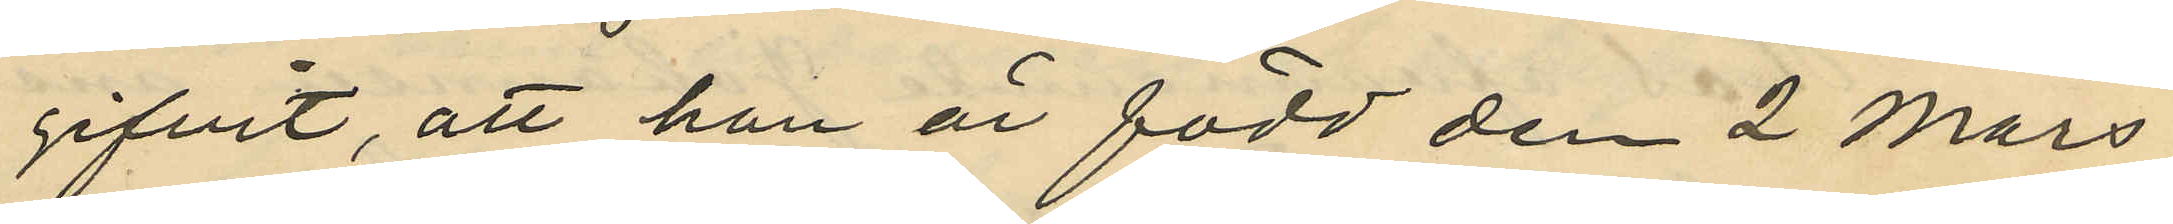gifvit, att han är född den 2 Mars
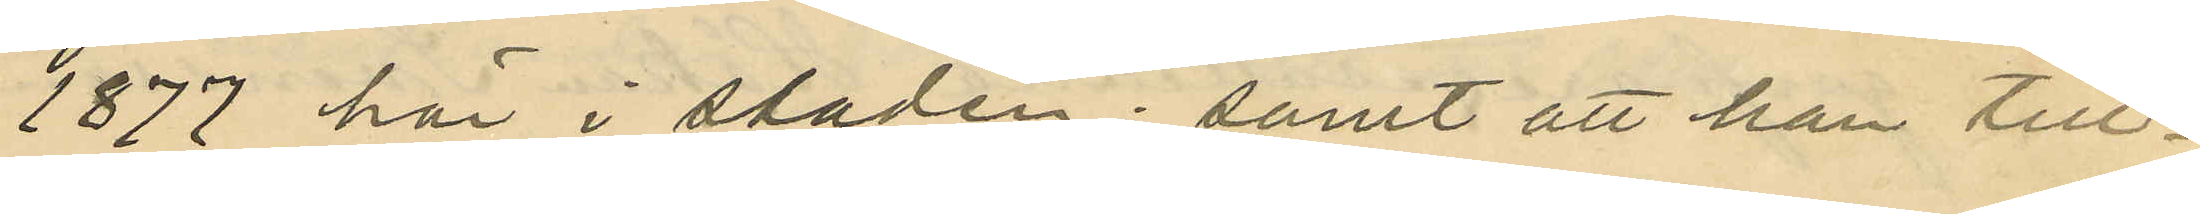1877 här i staden; samt att han till¬
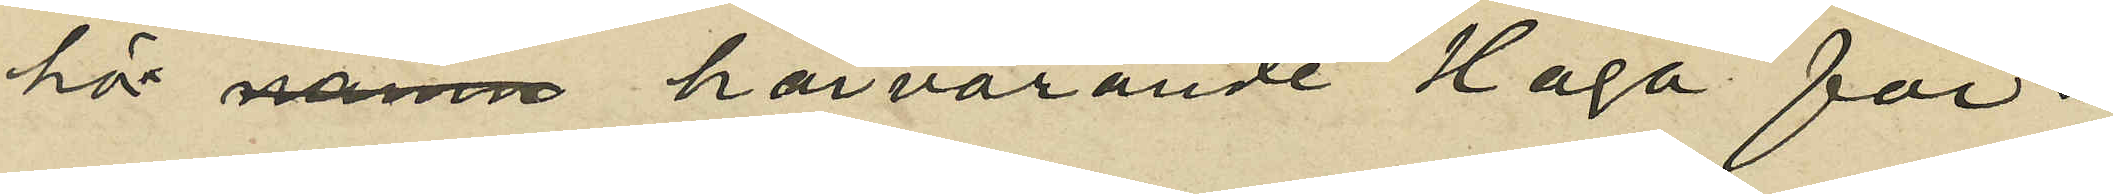här nämn härvarande Haga för¬
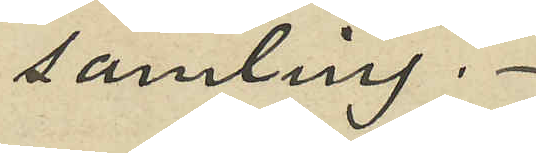samling.
